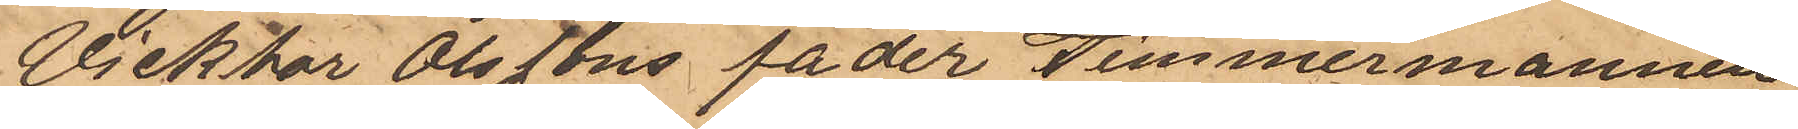Vicktor Olssons fader Timmermannen
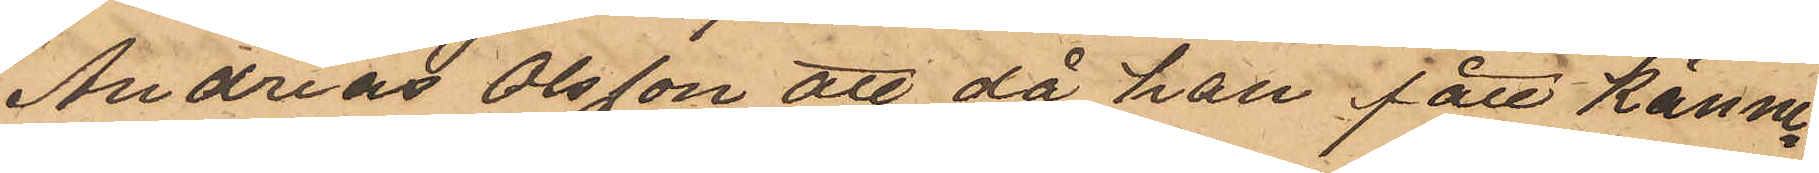Andreas Olsson att då han fått känne¬
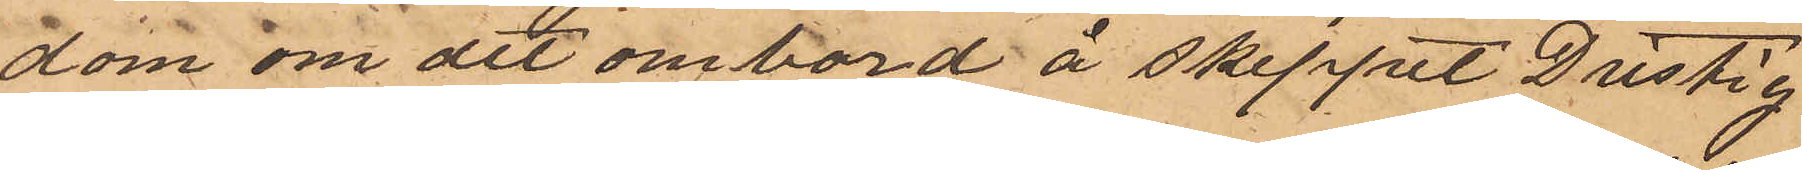dom om det ombord å skeppet Dristig
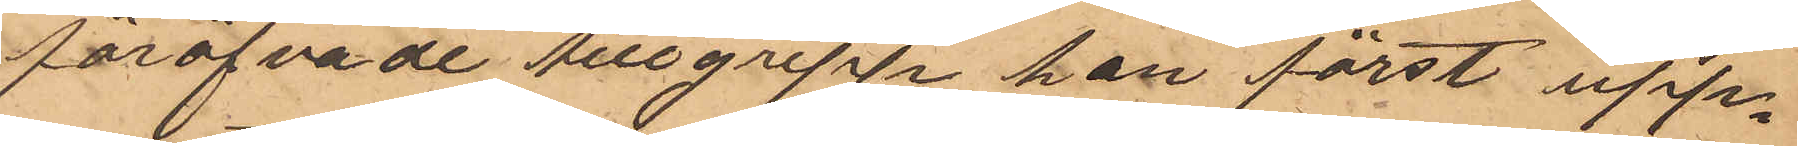föröfvade tillgrepp han först upp¬
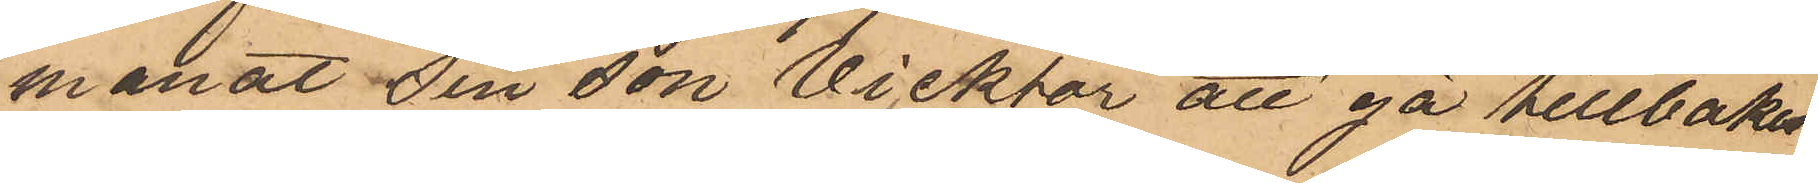manat sin son vicktor att gå tillbaka
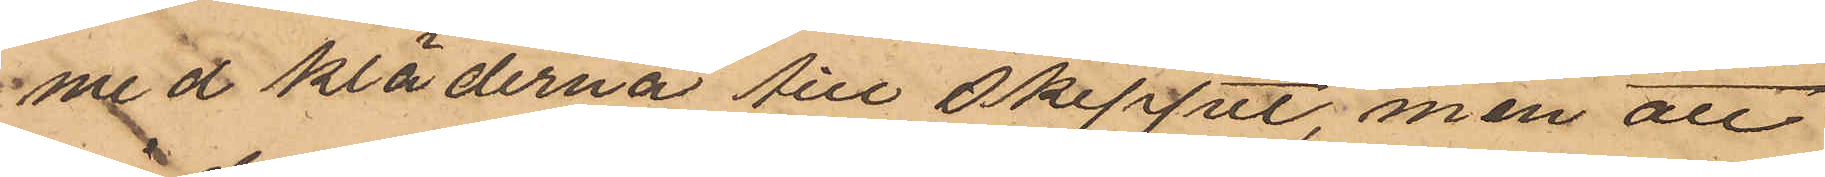med kläderna till skeppet, men att
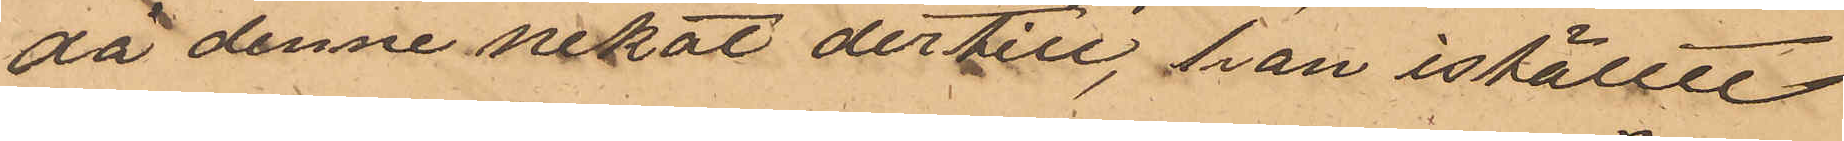då denne nekat dertill, han istället
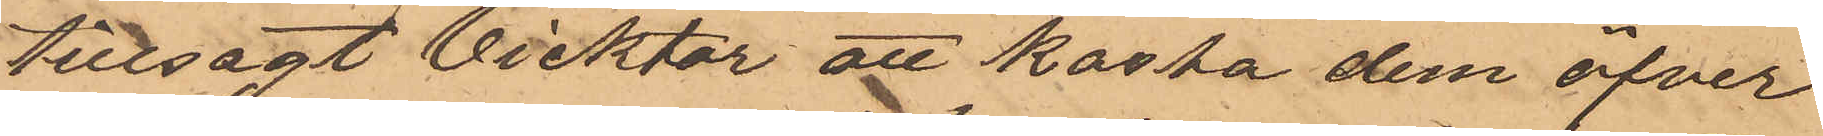tillsagt Vicktor att kasta dem öfver
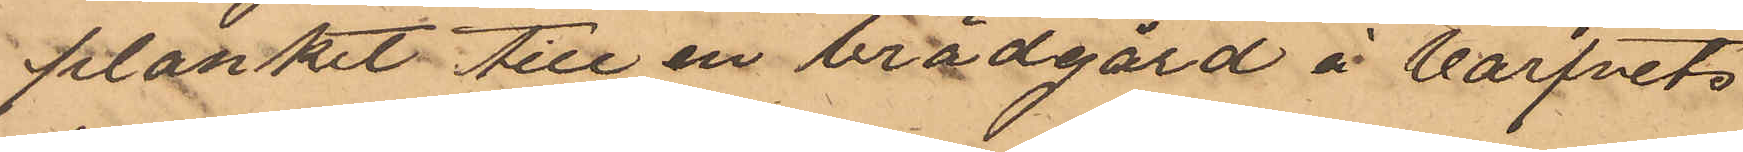planket till en brädgård å Varfvets
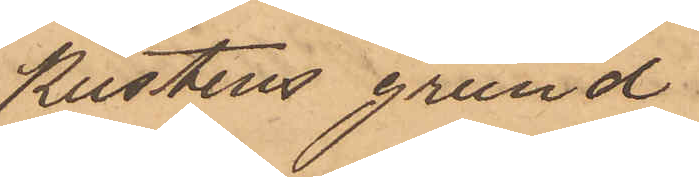kustens grund
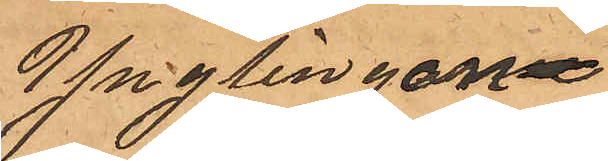Ynglingarne
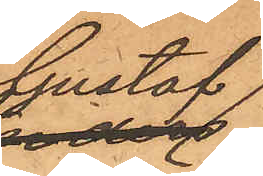Gustaf
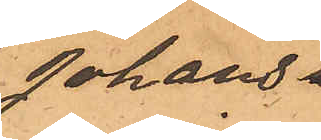Johans
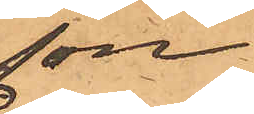son
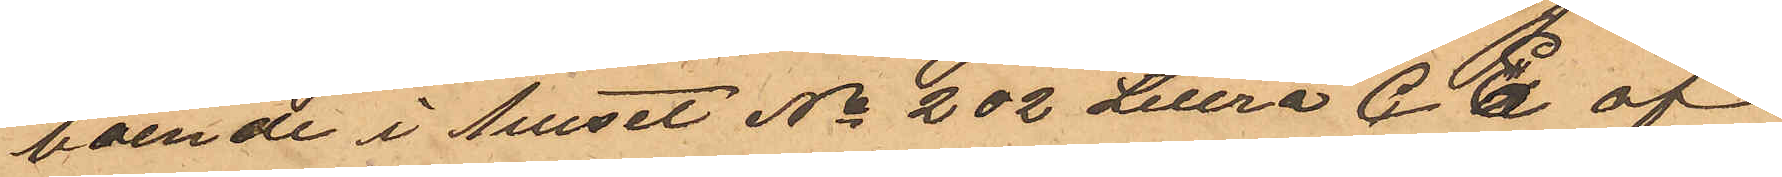boende i huset No 202 Littra C. E af
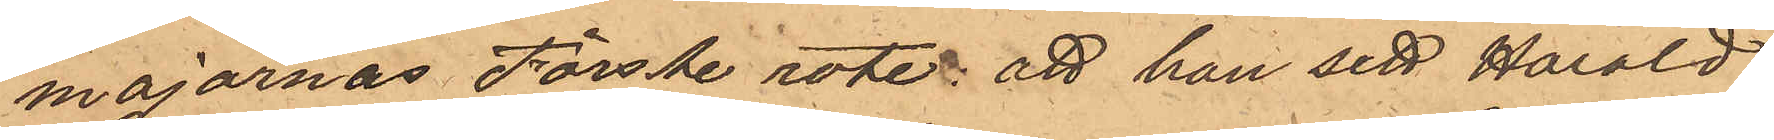majornas Förste rote, att han sett Harald
